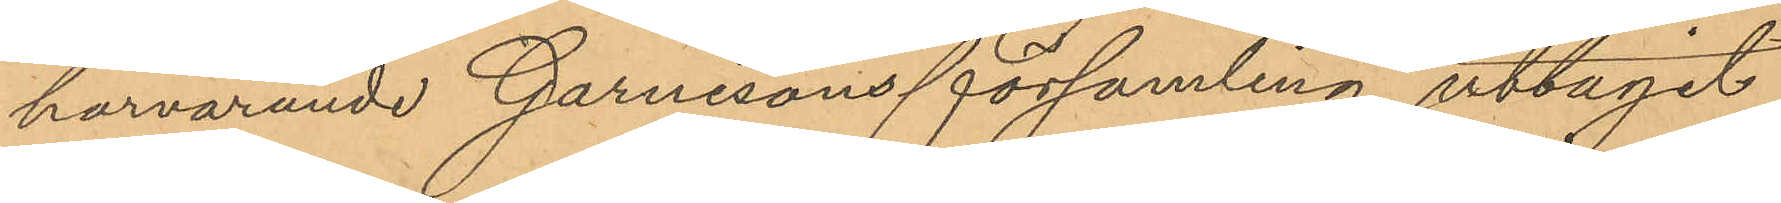härvarande Garnisonsförsamling uttagit.
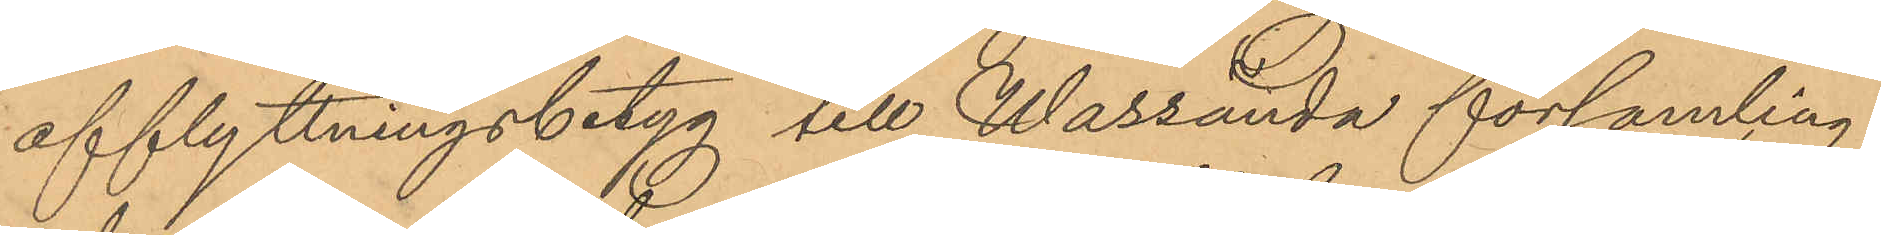afflyttningsbetyg till Wassända församling,
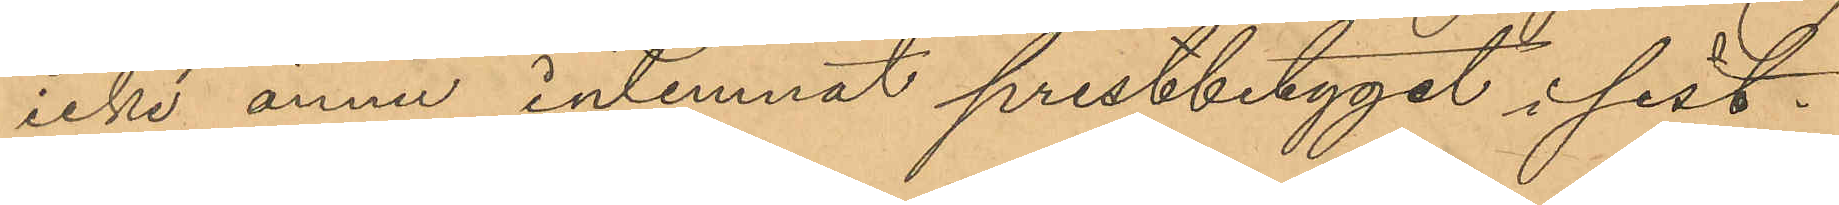icke ännu inlemnat prestbetyget i sist¬
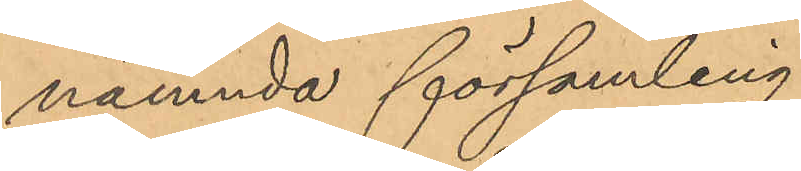nämnda församling.
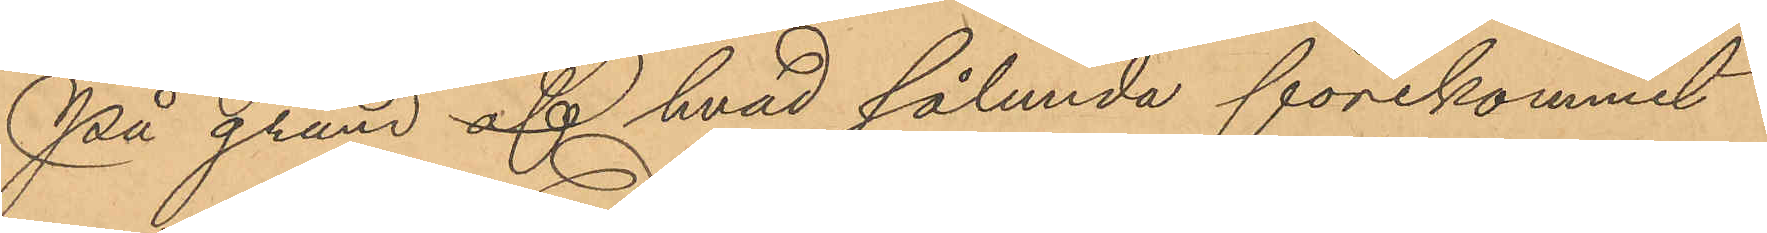På grund af hvad sålunda förekommit
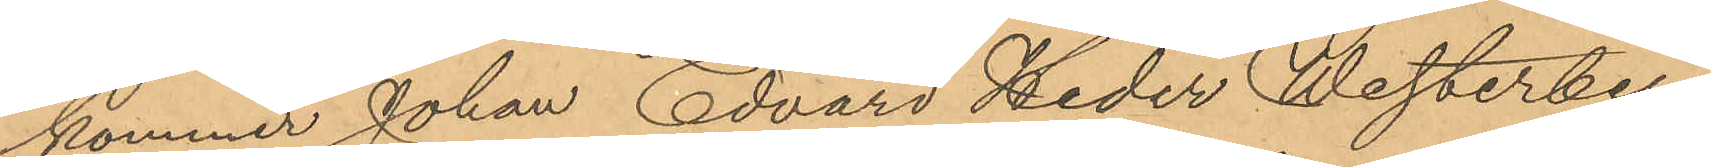kommer Johan Edvard Heder Westerberg,
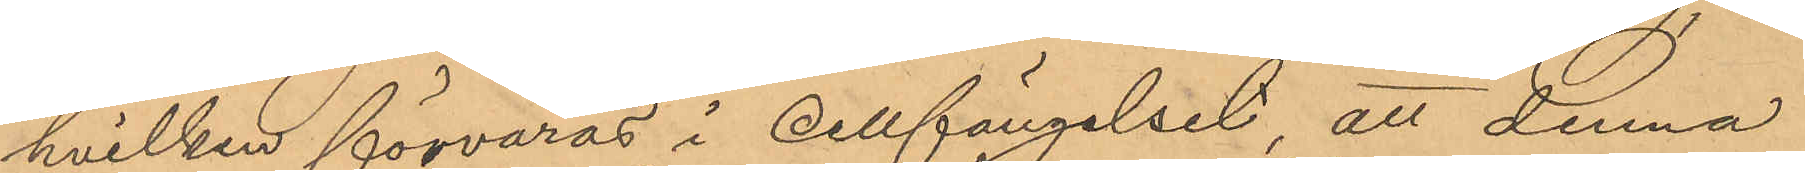hvilken förvaras i cellfängelset, att denna
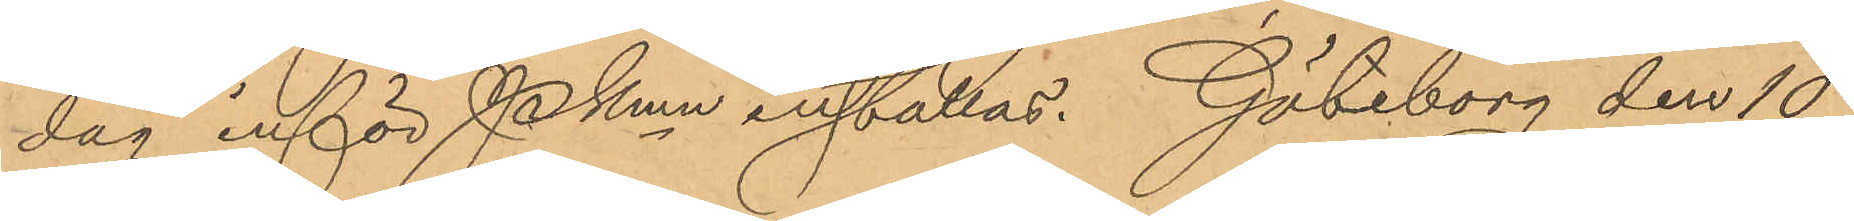dag inför Pkmn inställas. Göteborg den 10
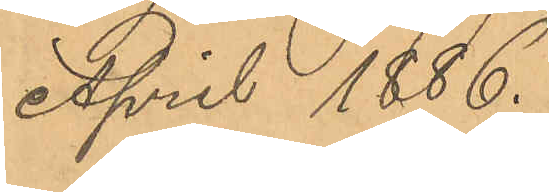April 1886.
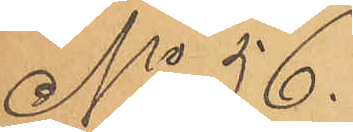No 56.
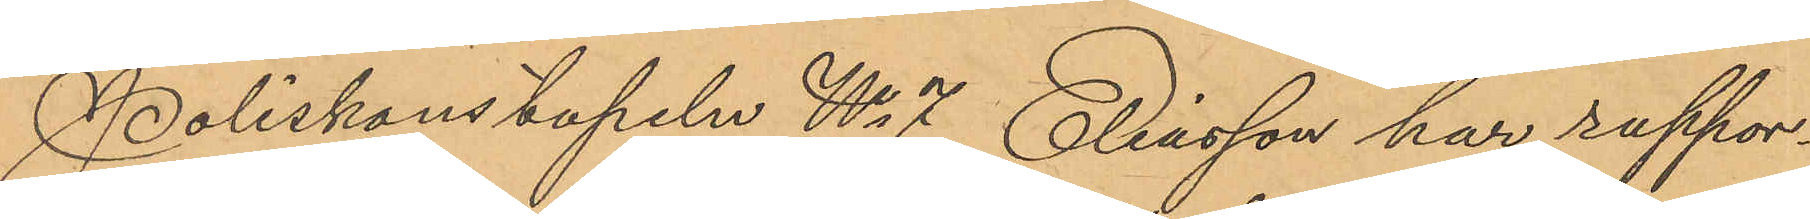Poliskonstapeln No 7 Eliasson har rappor¬
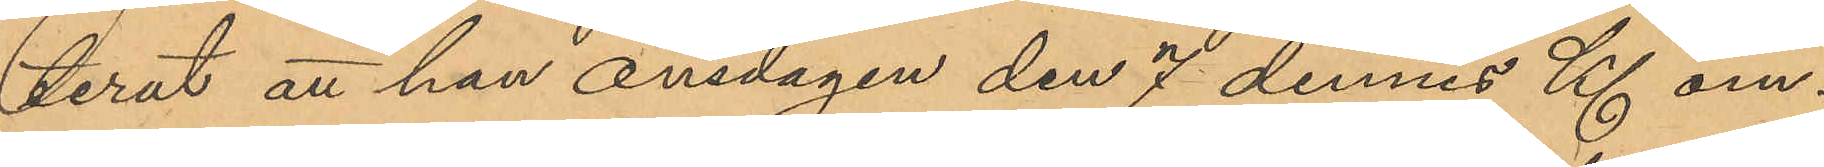terat att han onsdagen den 7 dennes Kl om¬
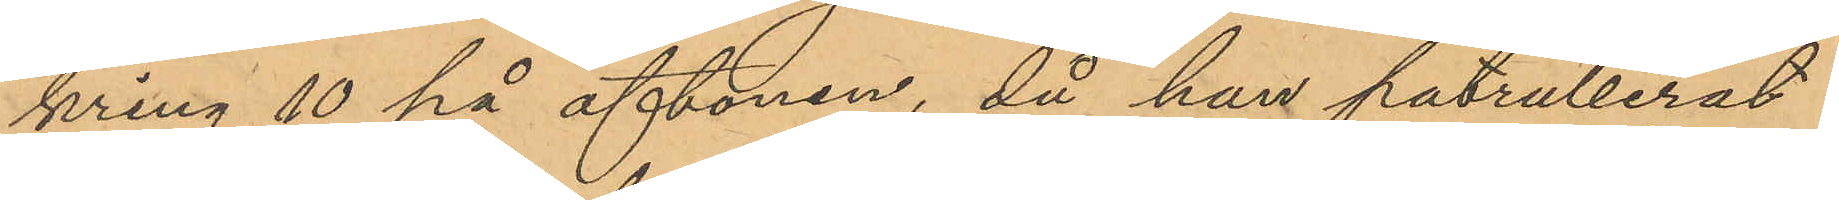kring 10 på aftonen, då han patrullerat
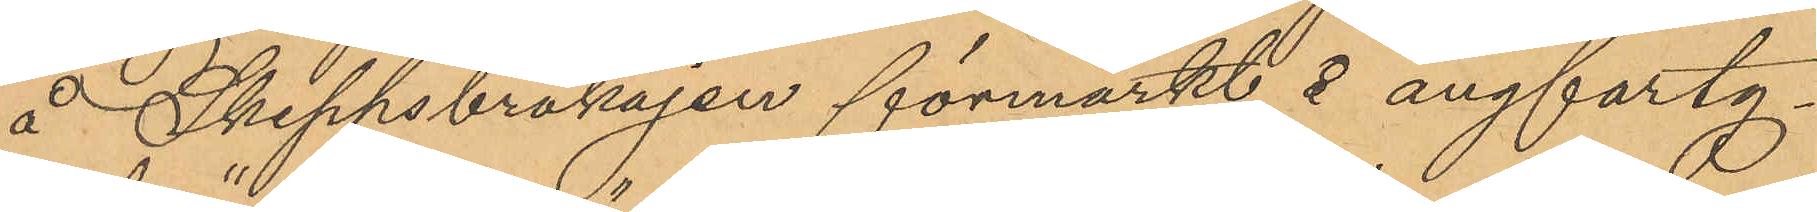å Skeppsbrokajen förmärkt å ångfarty¬
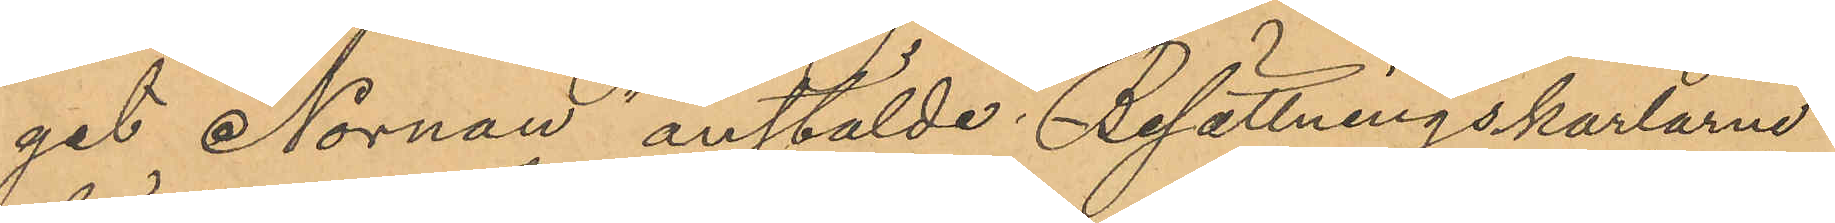get Nornan anstälde Besättningskarlarne
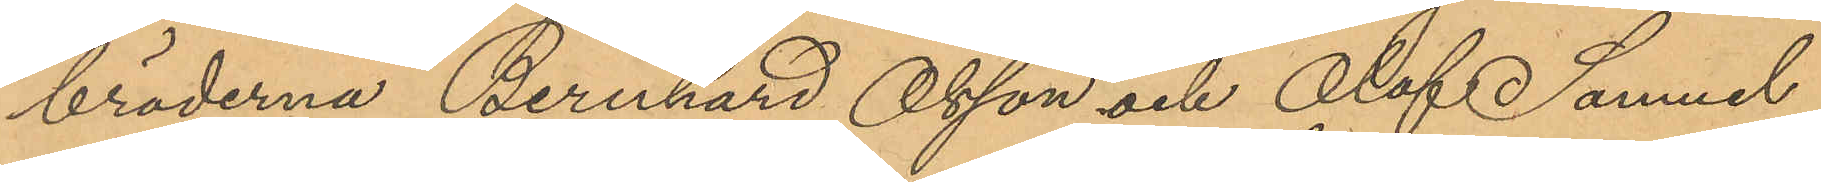bröderna Bernhard Olsson och Olof Samuel
